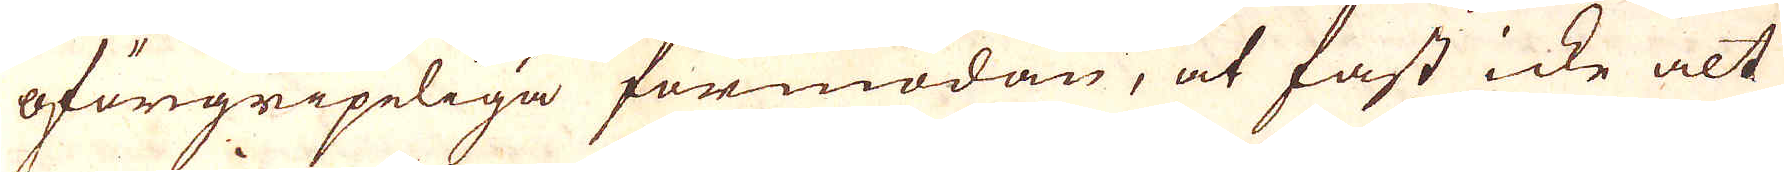oförgripeliga förmodan, at fast icke alt
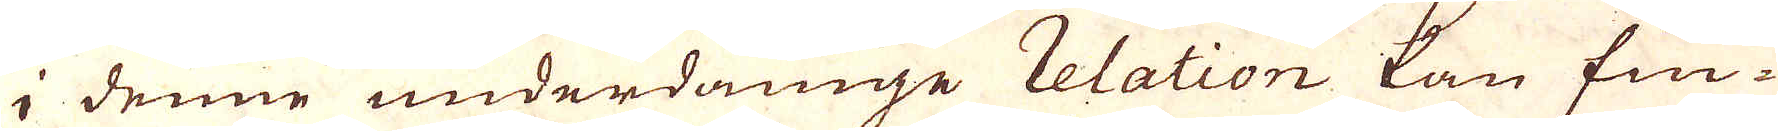i denne underdånige relation kan fin-
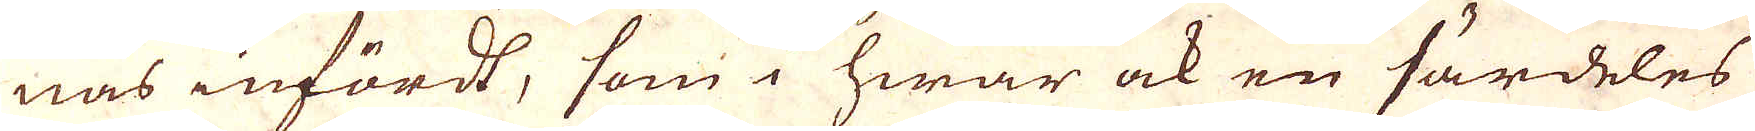nas infördt, som i hwar ock en särdeles
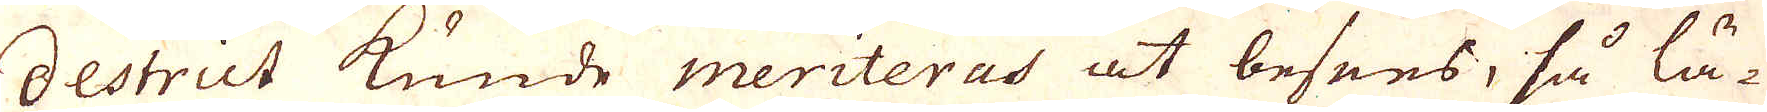destrict kunde meriteras at beses, så lä-
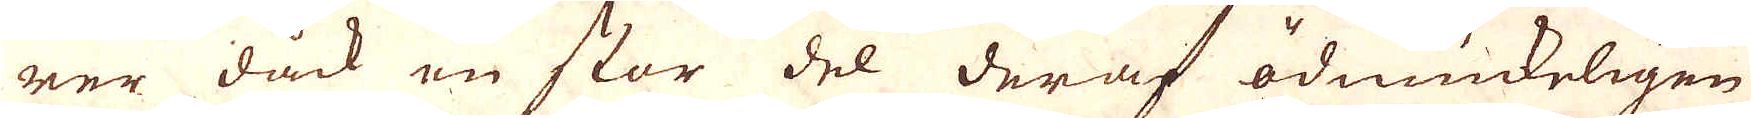rer dåck en stor del deraf ödmiukeligen
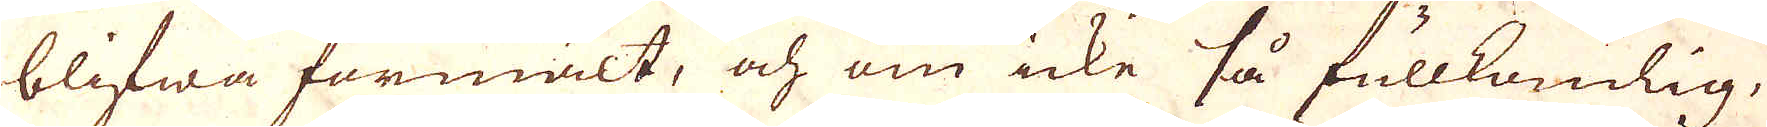blifwa förmält, och om icke så fullkomlig,
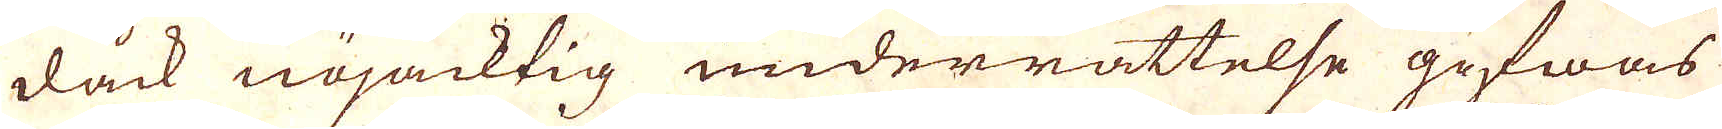dåck nöjacktig underrättelse gifwas
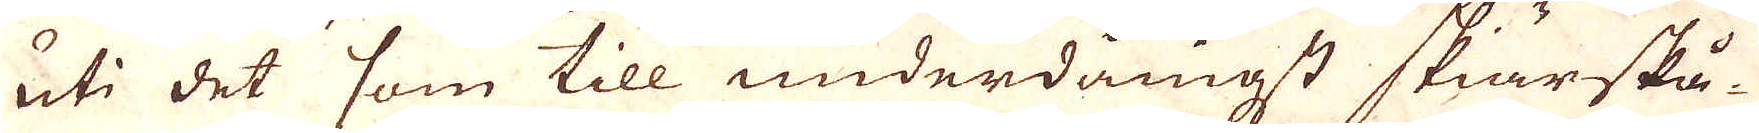uti det som till underdångst skiärskå-
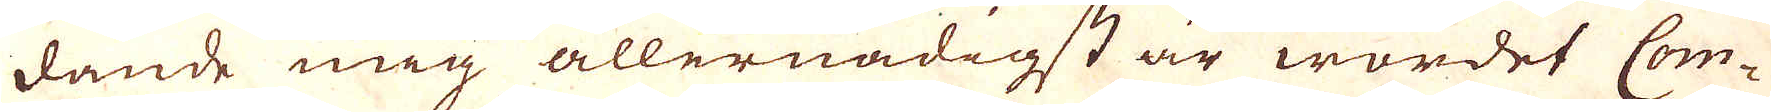dande mig allernådigst är wardet Com-
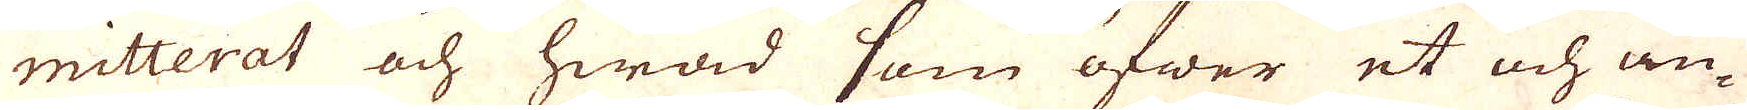mitterat och hwad som öfwer et och an-
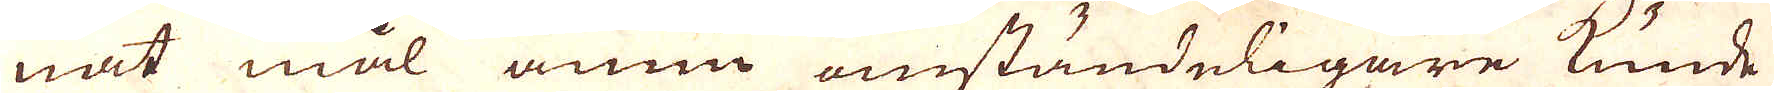nat mål ännu omständeligare kunde
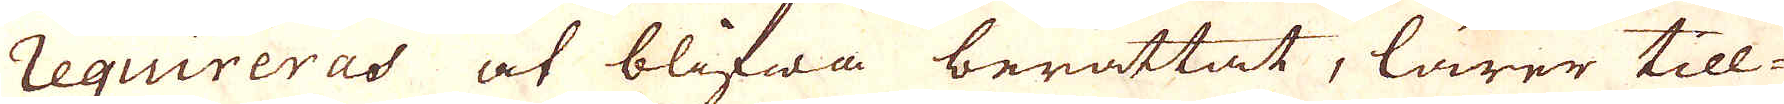requireras at blifwa berättat, lärer till-
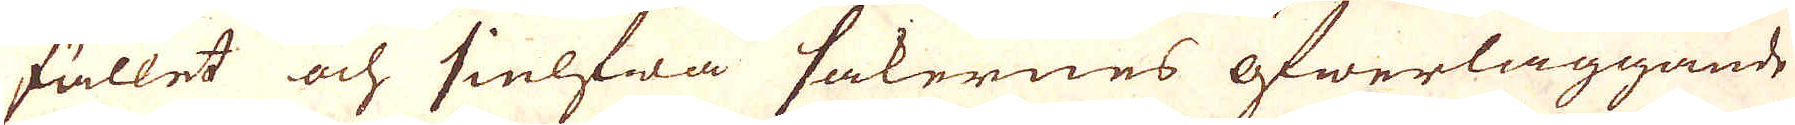fället och sielfwa sakernes öfwerläggande
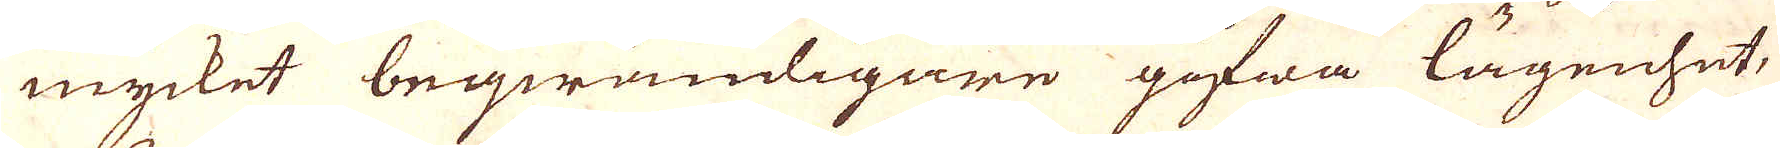mycket beqwämligare gifwa lägenhet,
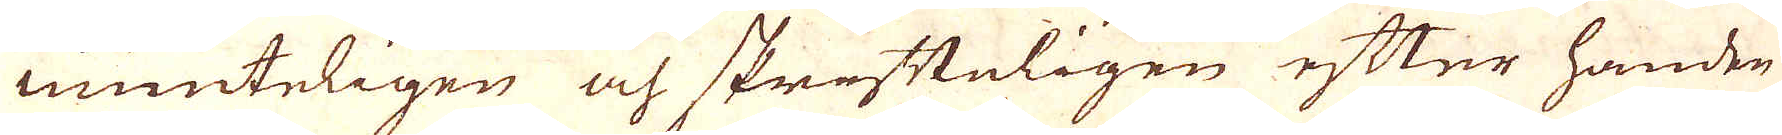munteligen och skrifteligen efter handen
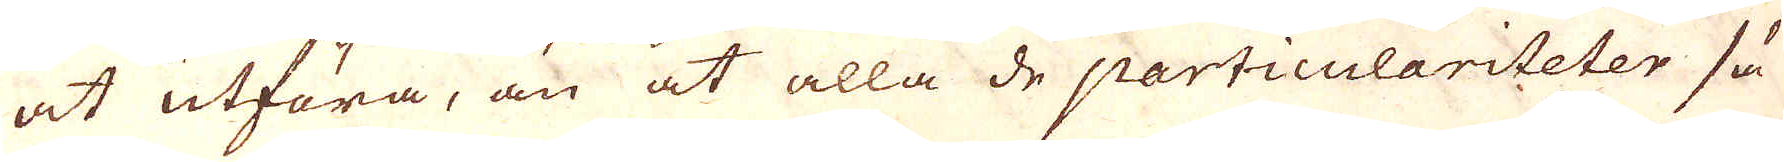at utföra, än at alla de particulariteter så
